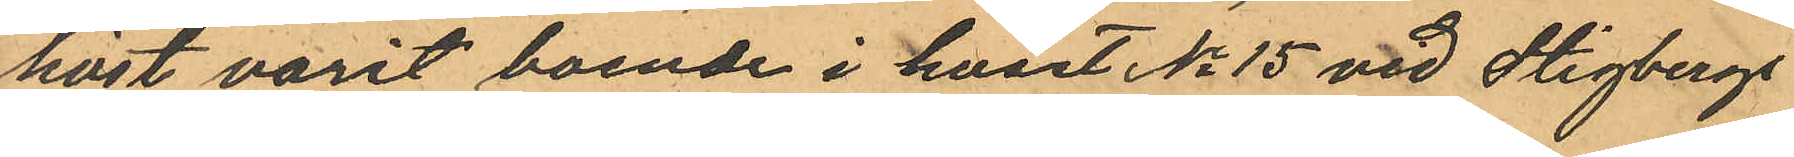höst varit boende i huset No 15 vid Stigbergs
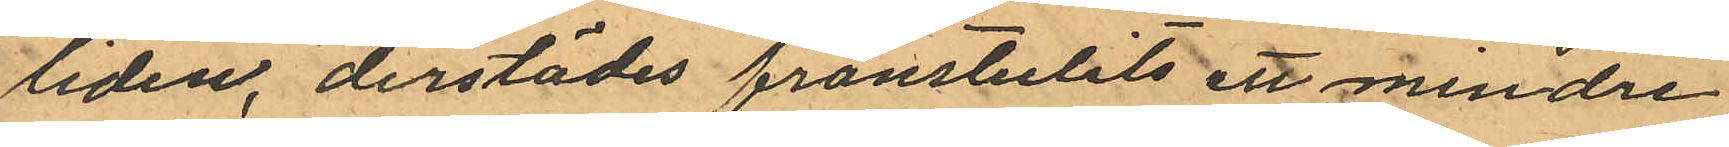liden, derstädes frånstulits ett mindre
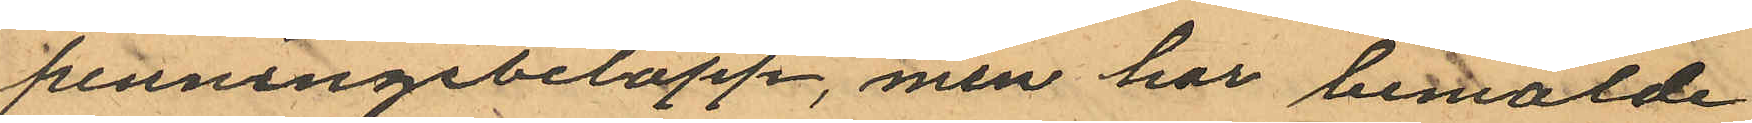penningebelopp, men har bemälde
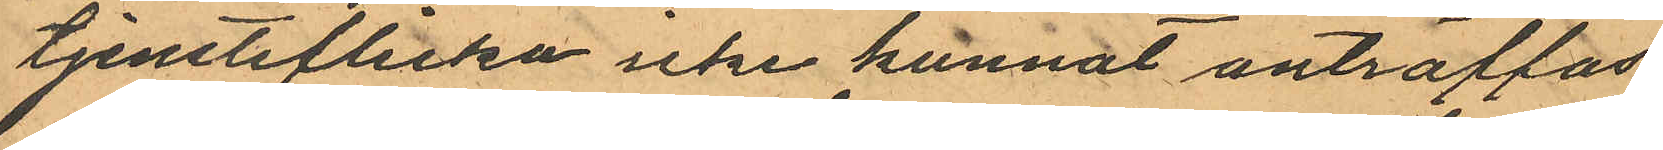tjensteflicka icke kunnat anträffas
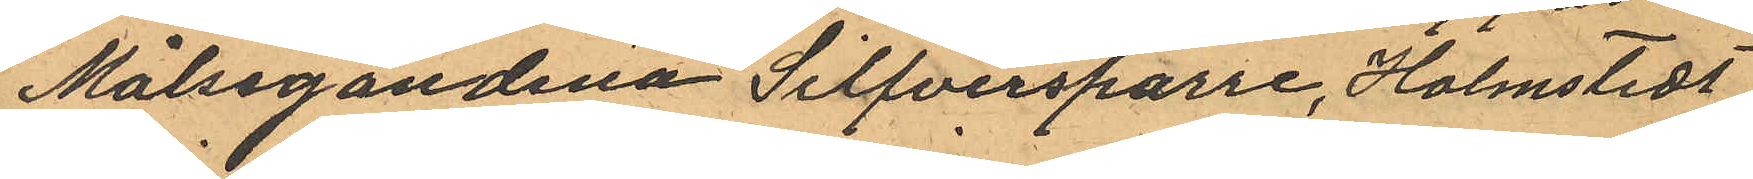Målsegandena Silfversparre, Holmstedt
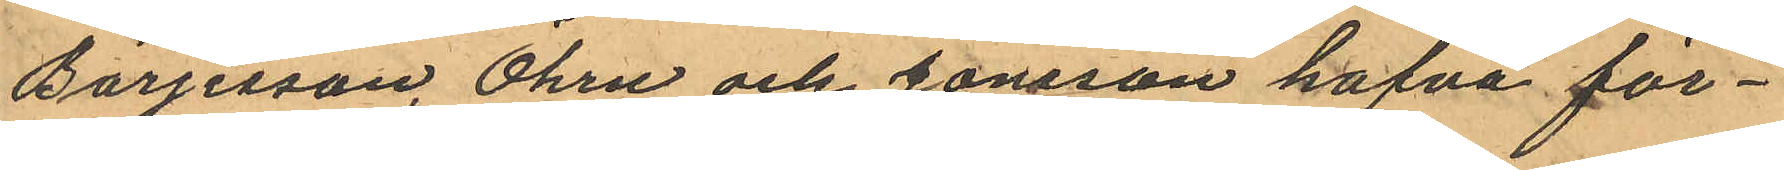Börjesson, Öhrn och Jonsson hafva för¬
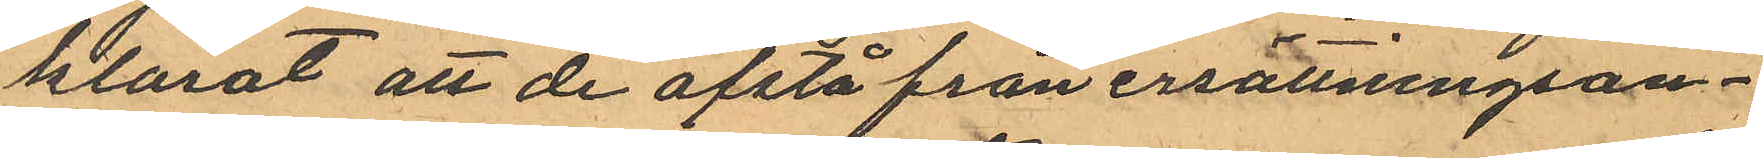klarat att de afstå från ersättningsan¬
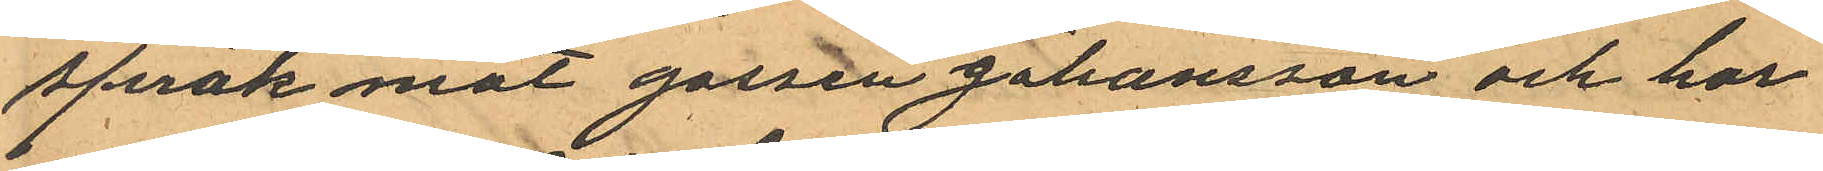språk mot gossen Johansson och har
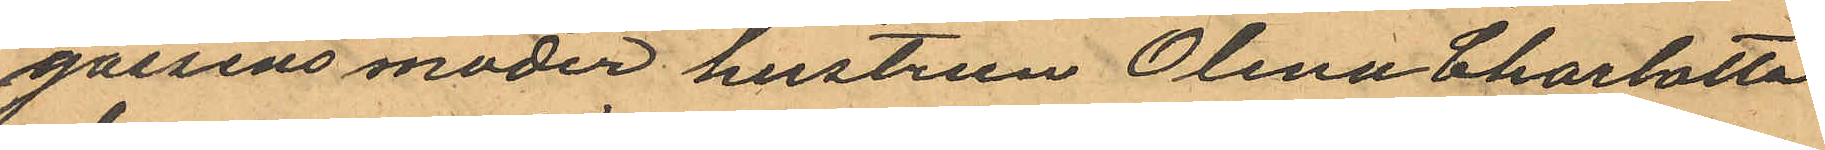gossens moder hustrun Olena Charlotta
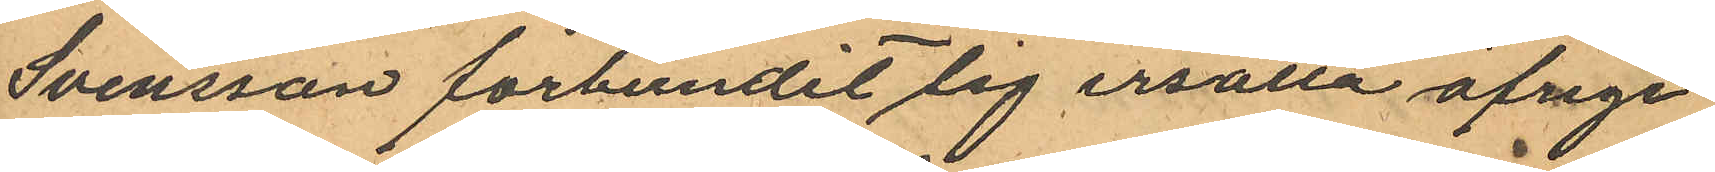Svensson förbundit sig ersätta öfriga
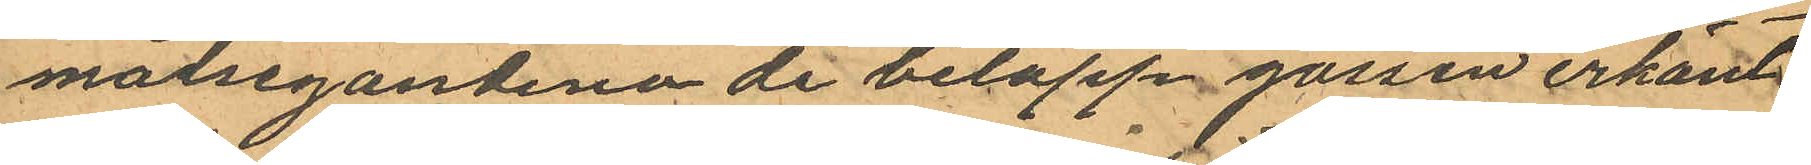målsegandena de belopp gossen erkänt
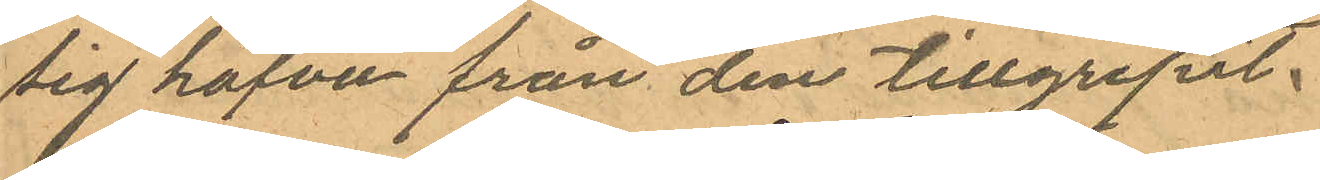sig hafva från dem tillgripit:
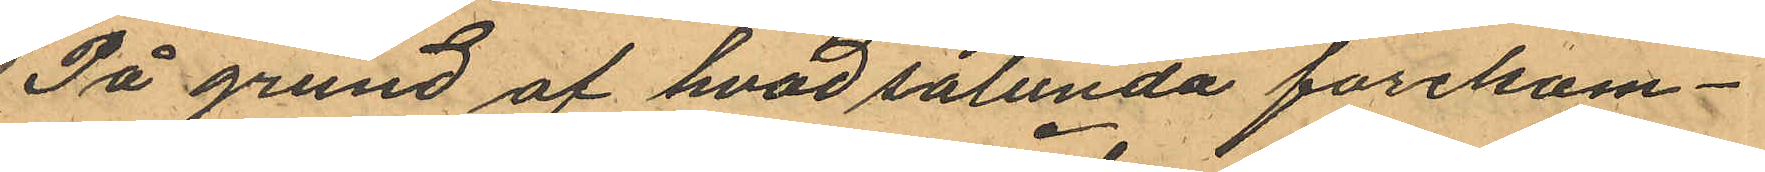På grund af hvad sålunda förekom¬
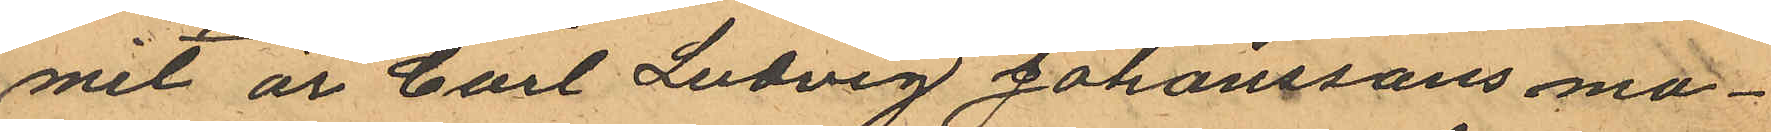mel är Carl Ludvig Johanssons mo¬
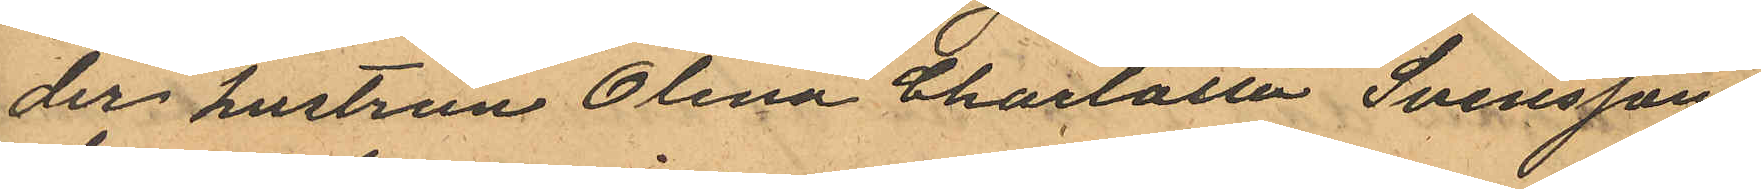der hustrun Olena Charlotta Svensson
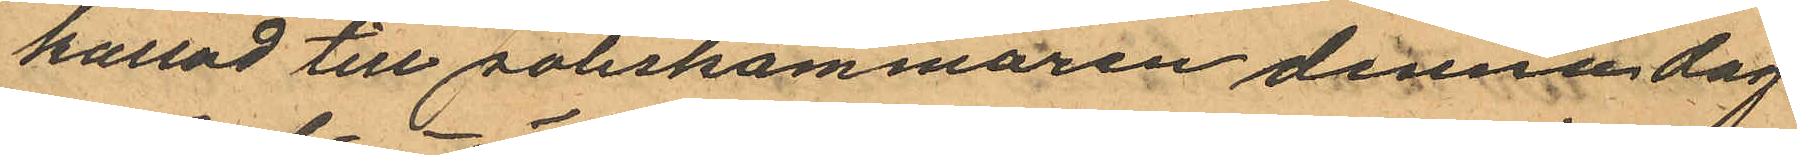kallad till Poliskammaren denna dag
